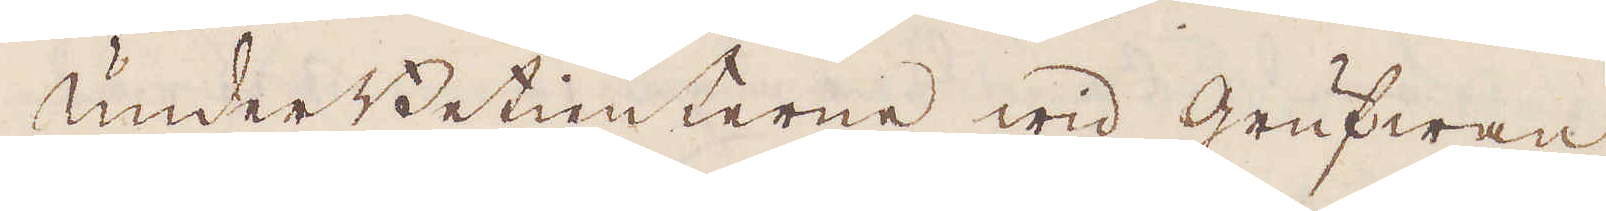UnderBetienterne wid grufwan
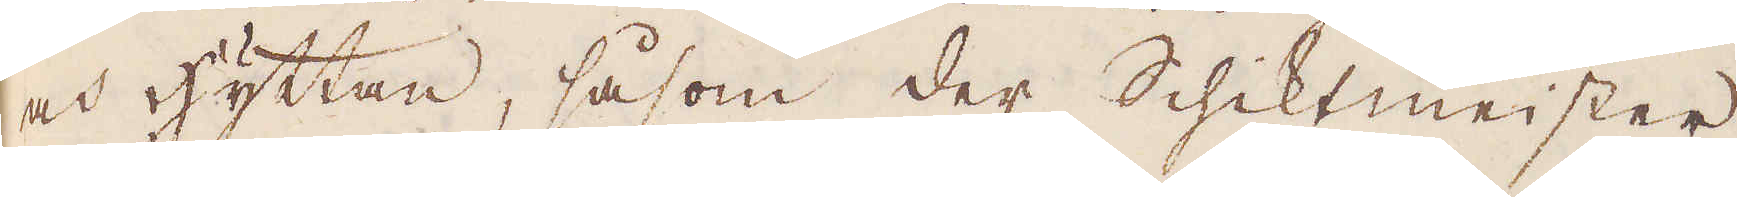och hyttan, såsom der Schiktmeister,
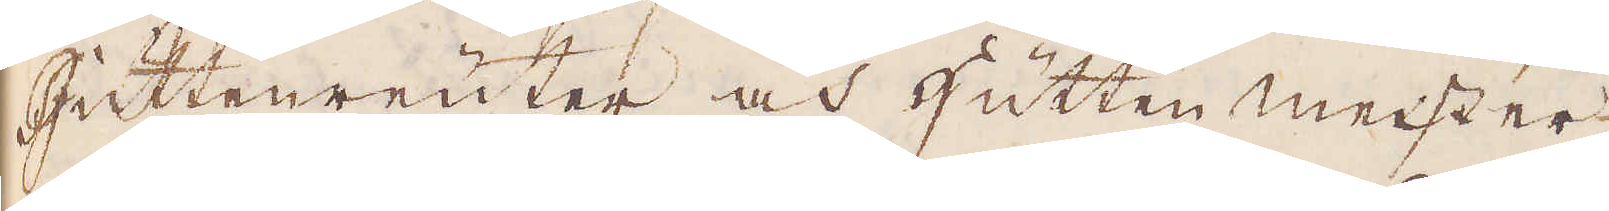Huttenreuter och Hütten meister
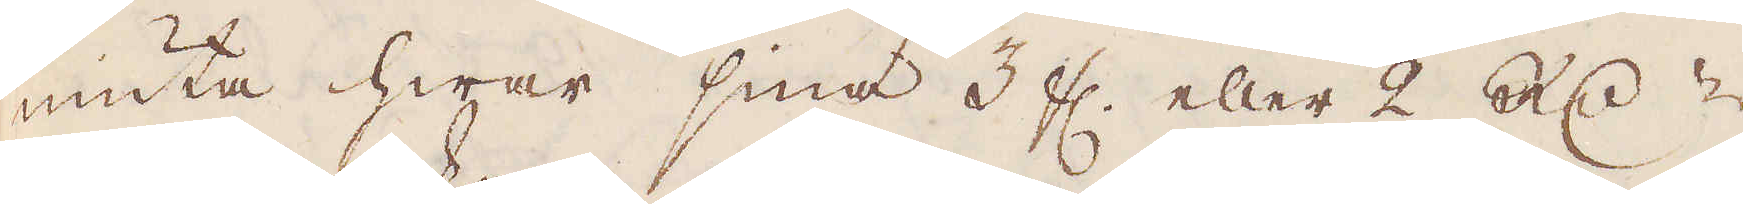niuta hwar sina 3 fl. eller 2 R:dr
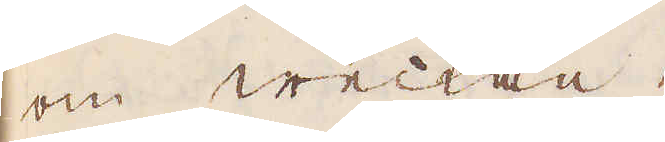om weckan.
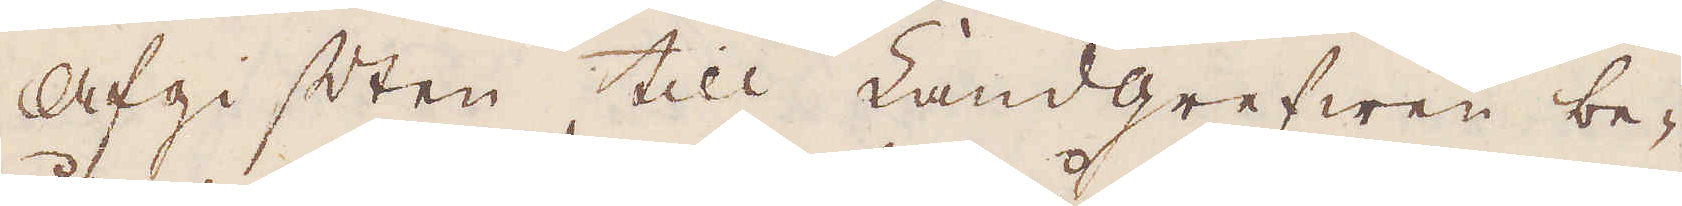Afgiften till Landgrefwen be-
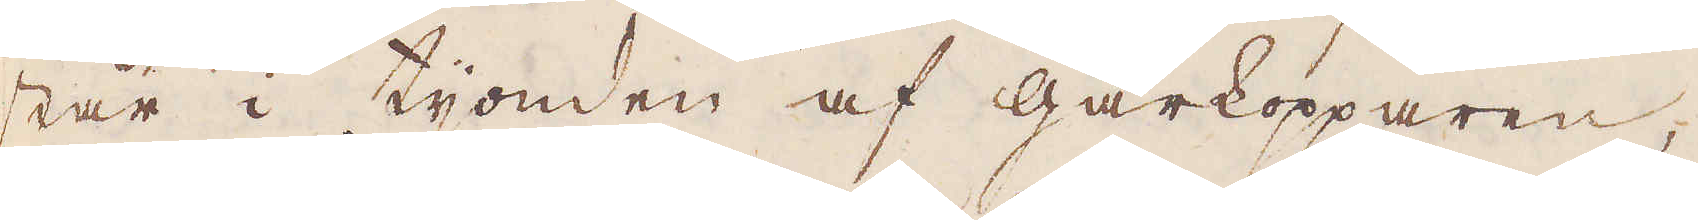står i tionden af gårkopparen,
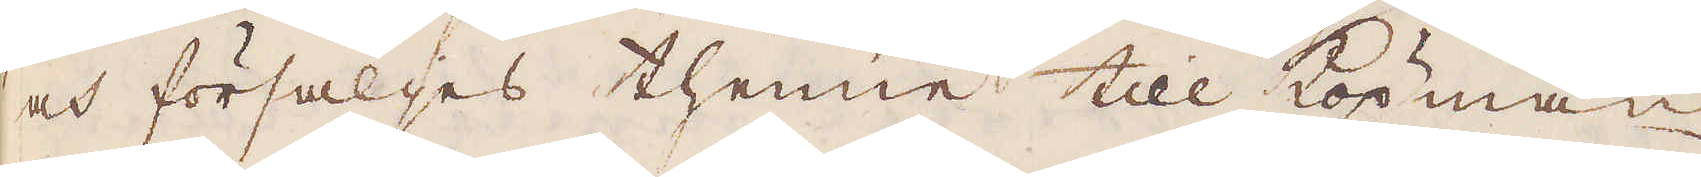och försäljes thenne till köpmän
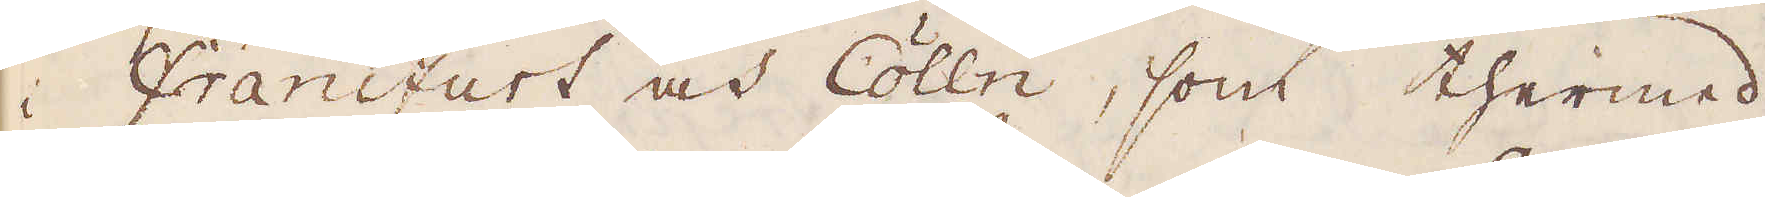i Frankfurt och Colln, som thermed
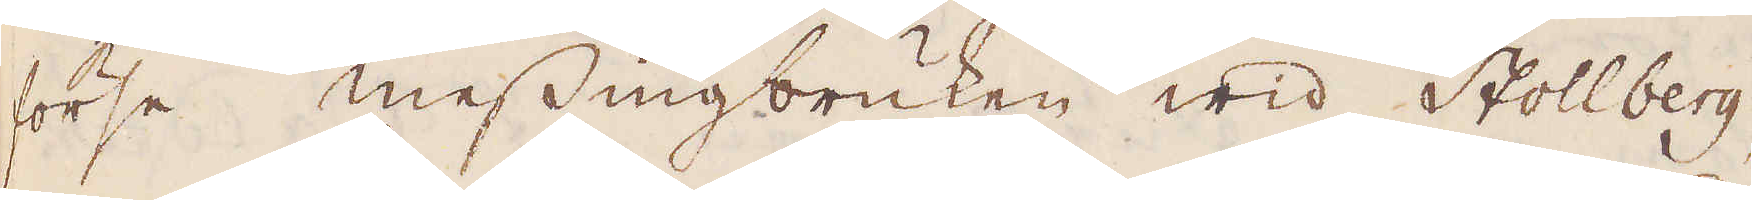förse messingbruken wid Stollberg,
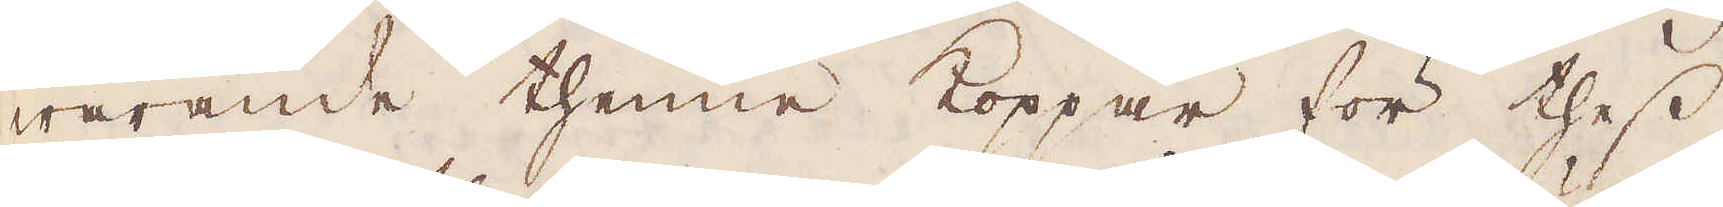warande thenne koppar för thess
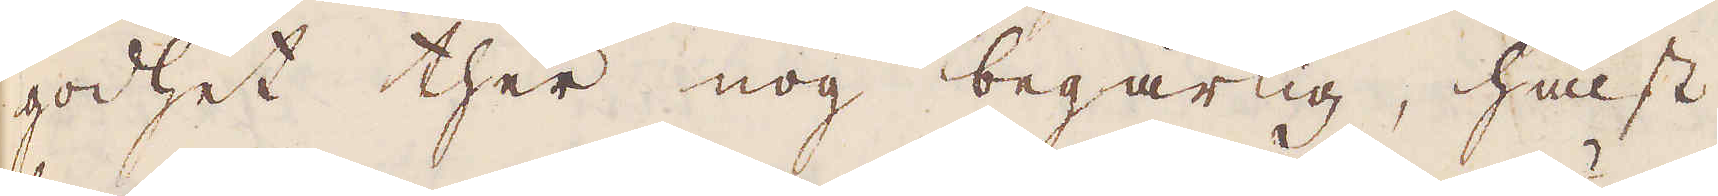godhet ther nog begärlig, hälst
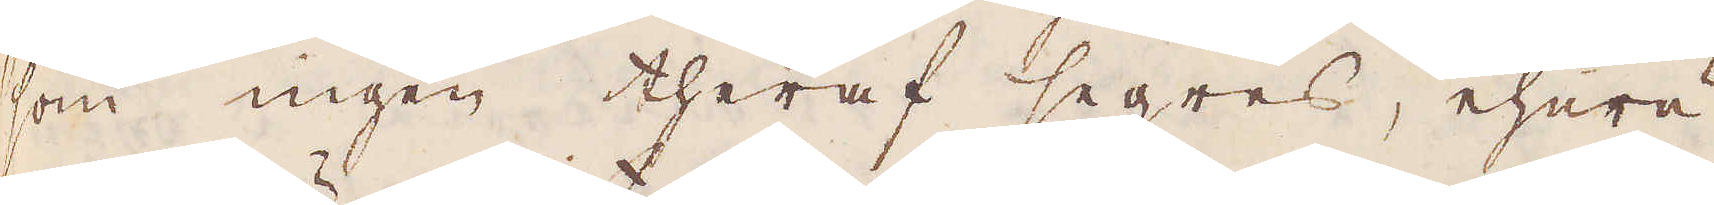som ingen theraf segres, ehuru
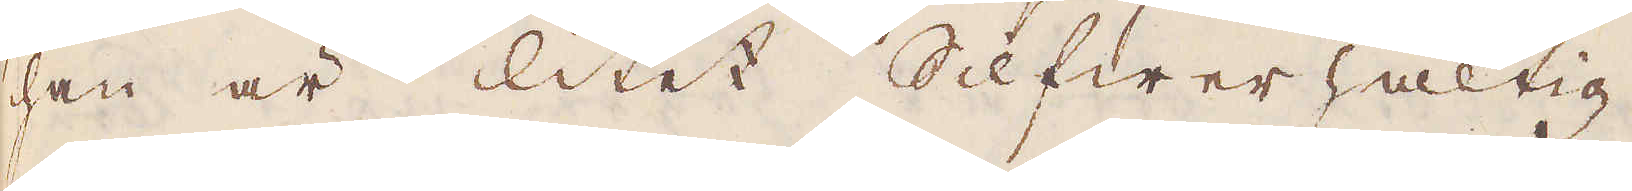han är litet Silfwer haltig.
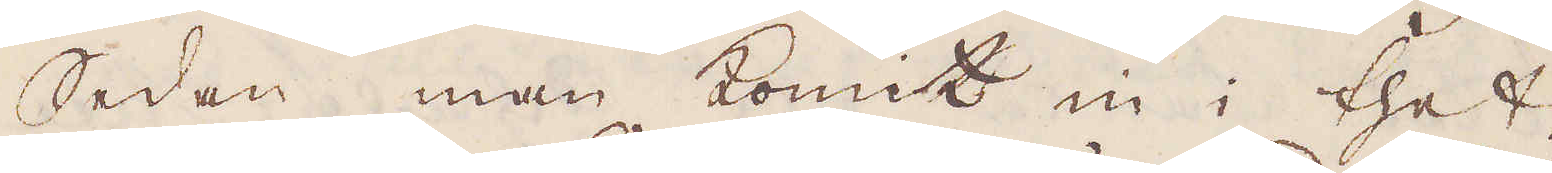Sedan man komit in i thet
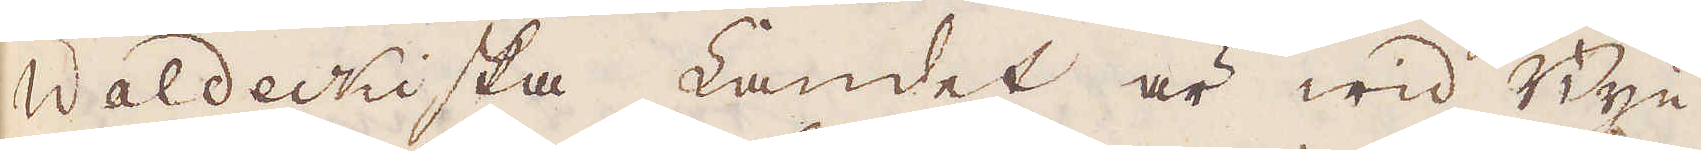Waldeckiska Landet är wid Byn
